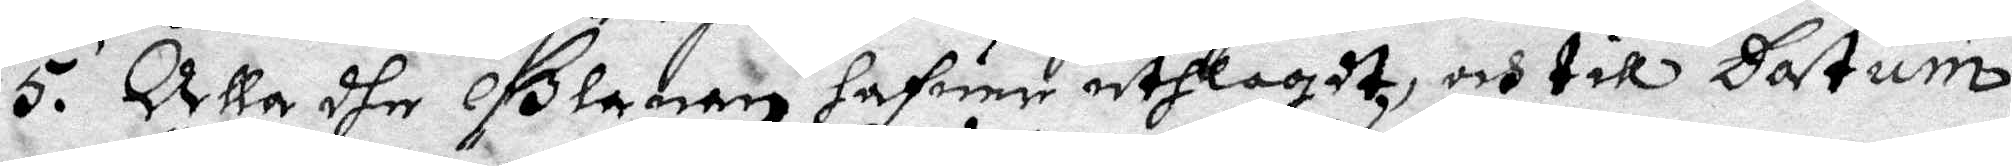5. Alla dhe Glanan hafuer uthlagdt, och till Datum
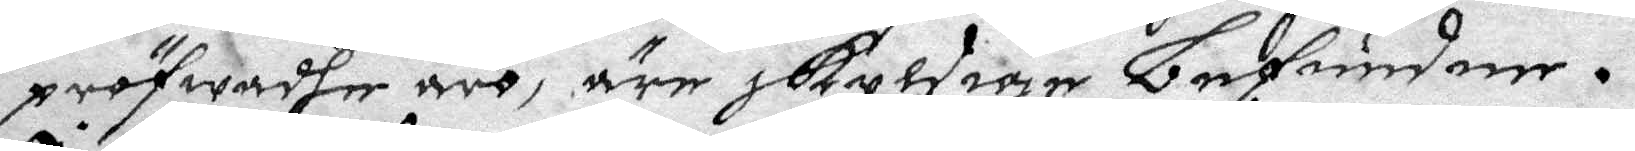pröfwadhe äro, äre skyldige befundner.
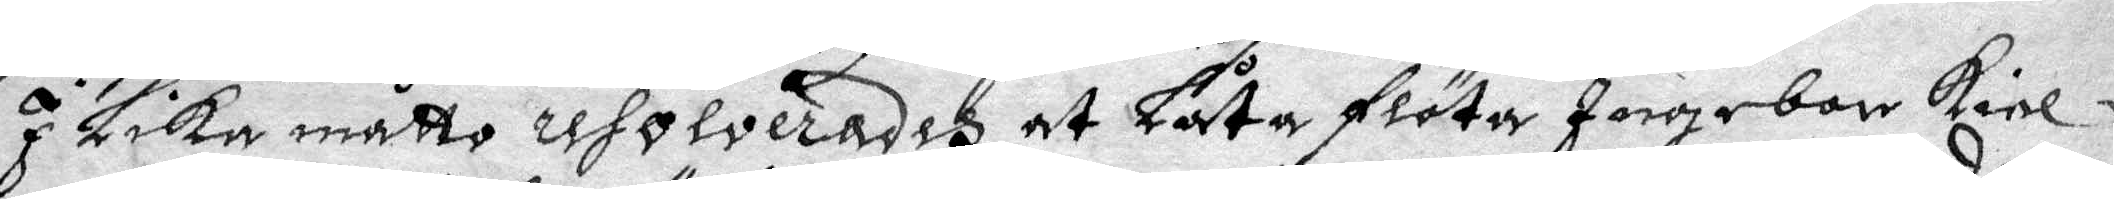I Lika måtto resolverades at Låta flöta Ingebor kiel
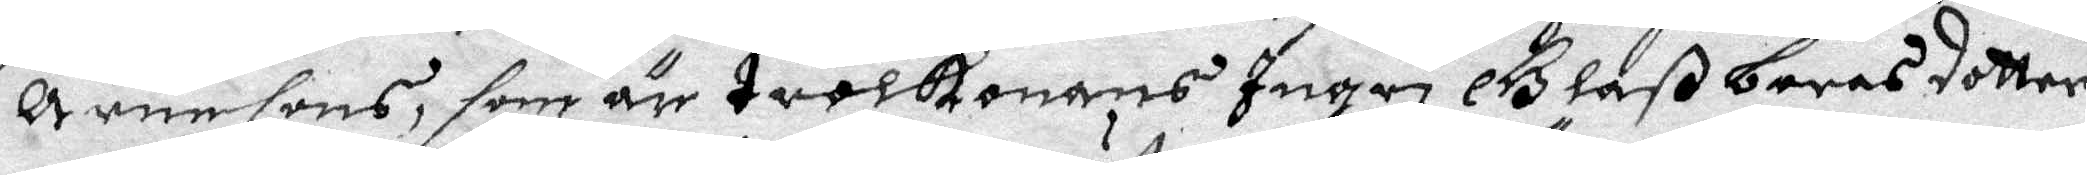Arensons, som är trolkonans Ingri Glaß baras dotter
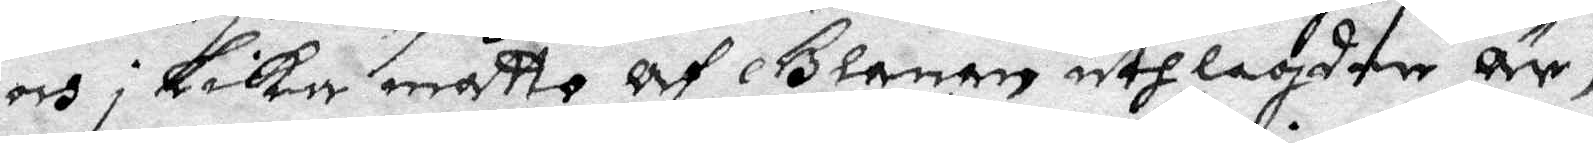och i Lika måtto Af Glanen uthlagder Är,
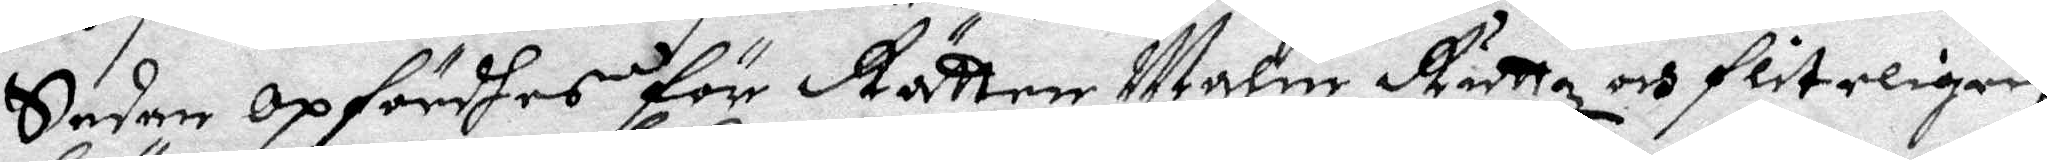Sedan opfördhes för Rätten Marin Ruttz och fliteligen
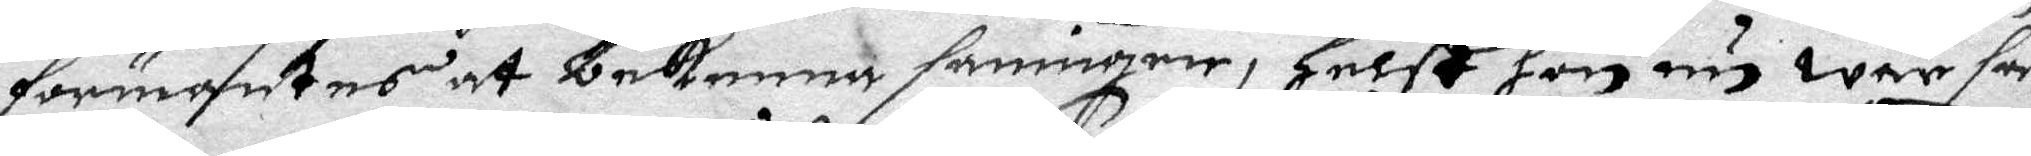förmantes at bekenna sanningen, helst hon nu war så
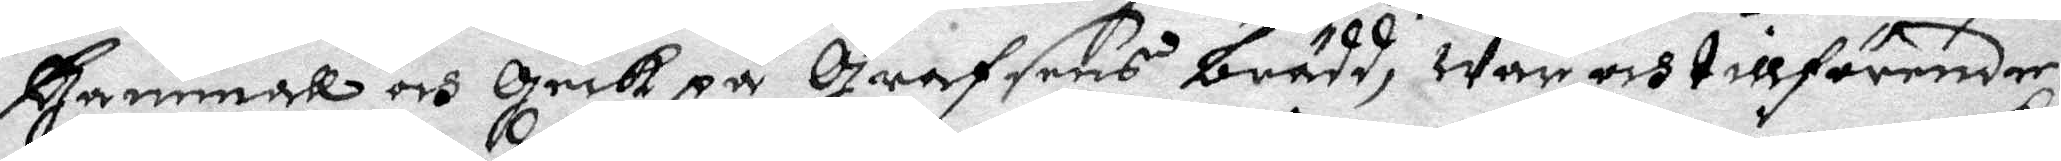Gammal och Gick på Grafsens brädd, war och tillförende
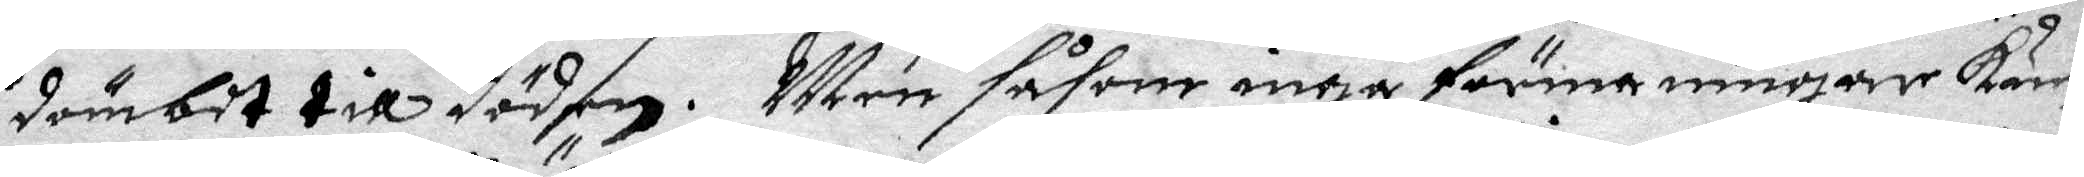dömbit till döden. Men såsom inga förmaningar kun¬
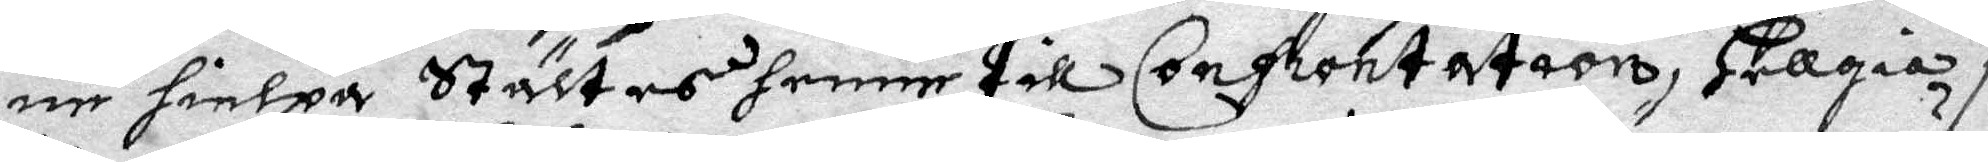ne hielpa Stältes henne till Confrontation, Hellgia i
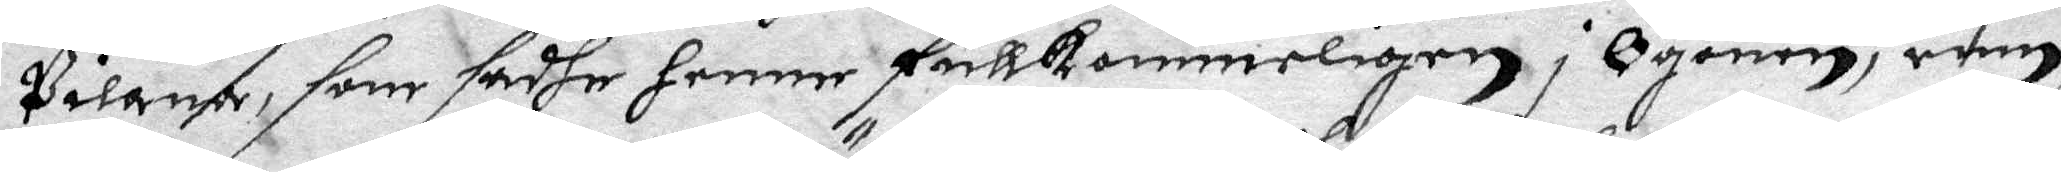Pilanna, som sadhe henne fullkommeligen i Ögonen, rum,
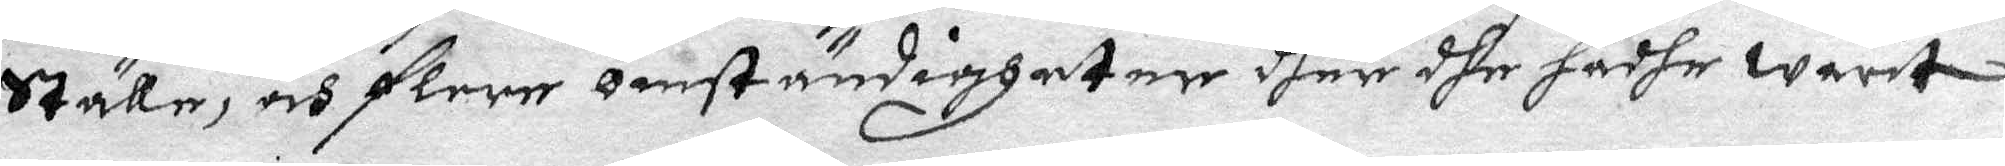Ställe, och flere omständigheter dher dhe hadhe warit
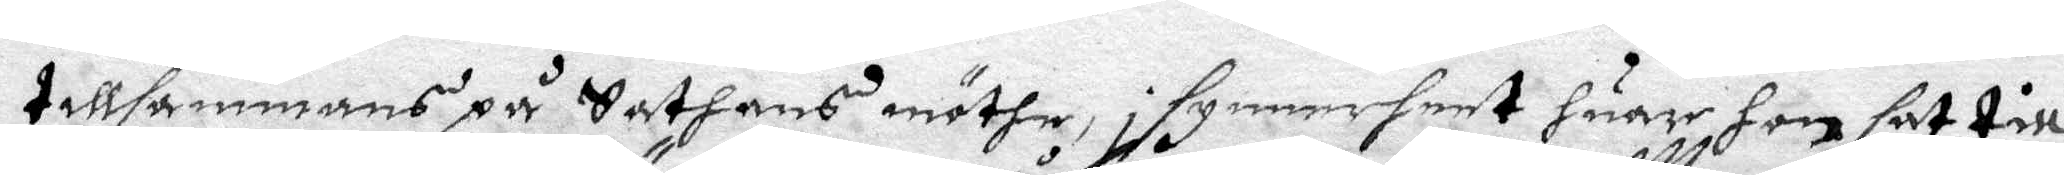tillsammans på Sathans möthe, i synnerheet huar hon sat till
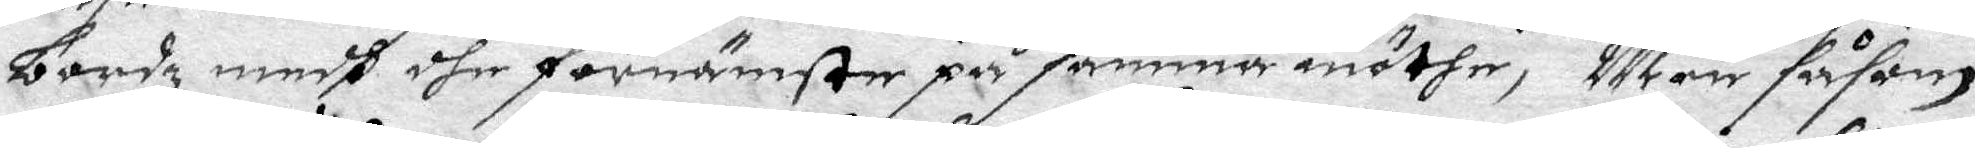bordz medh dhe förnämste på samma möthe, Men såsom
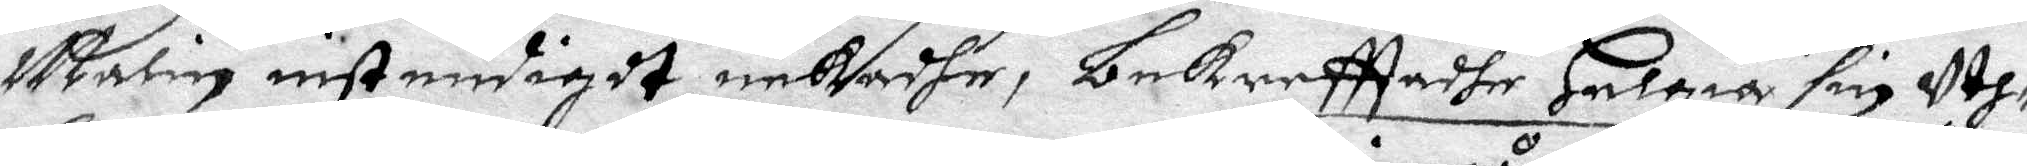Malin instendigdt nekadhe, bekreffadhe Helgia sin Yth¬
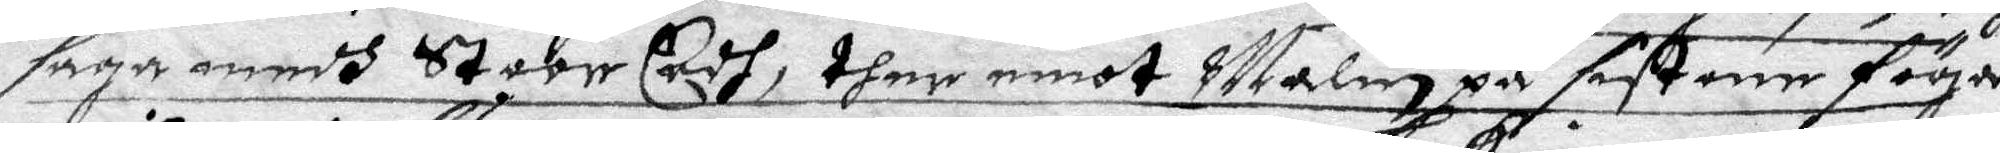saga medh Stoor Eedh, thee emot Malin på sistone föga
